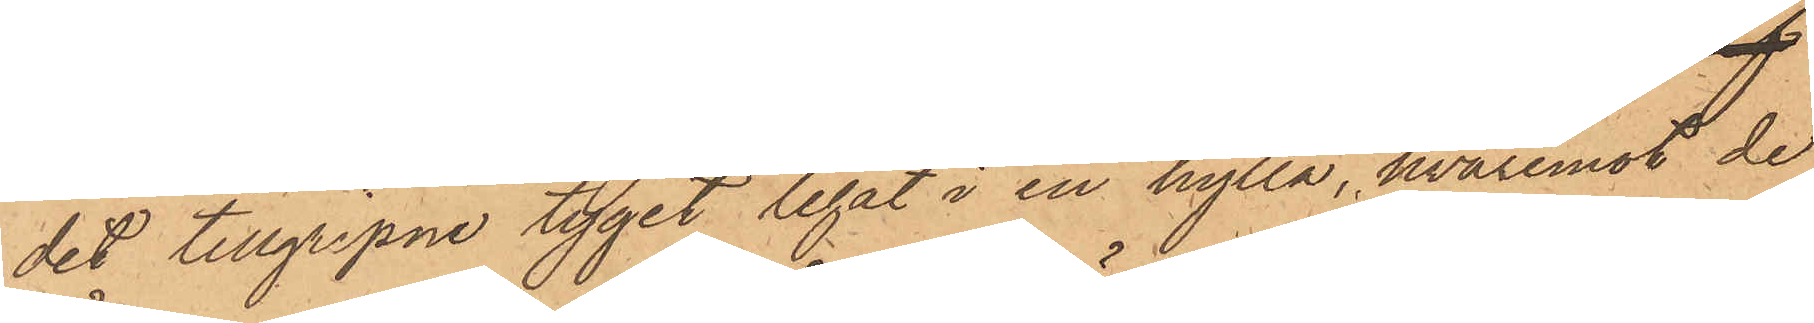det tillgripne tyget legat i en hylla, hvaremot de
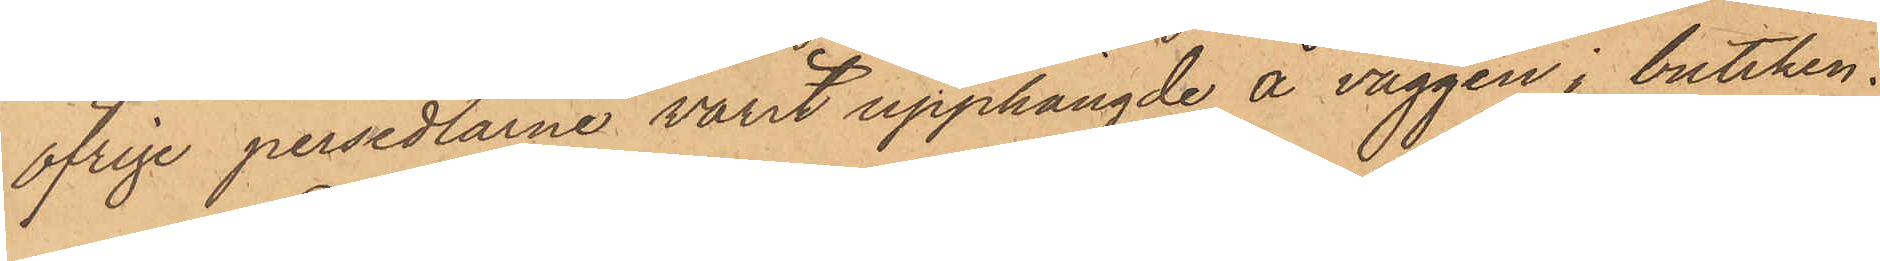öfrige persedlarne varit upphängde å väggen i butiken.
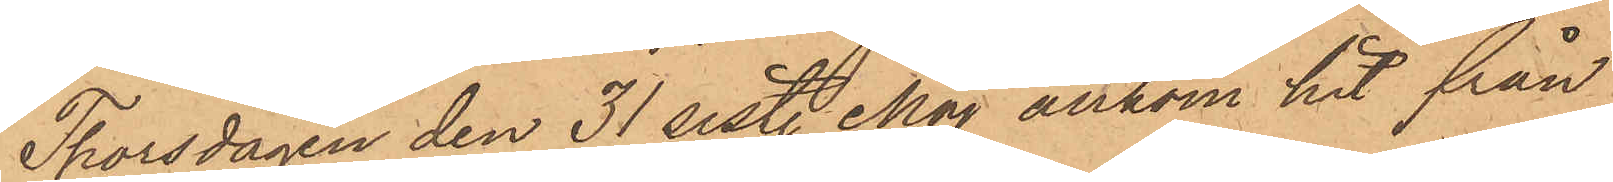Thorsdagen den 31 sislt. Maj ankom hit från
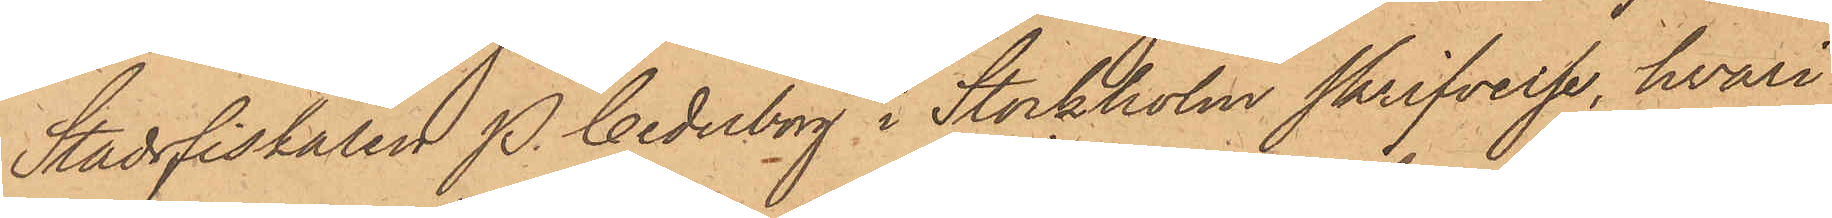Stadsfiskalen P. Cederborg i Stockholm skrifvelse, hvari
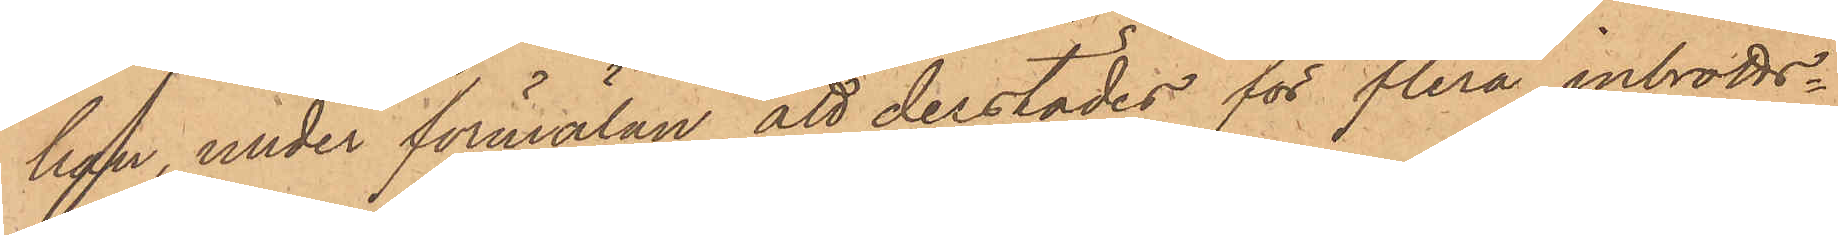han, under förmälan att derstädes för flera inbrotts¬
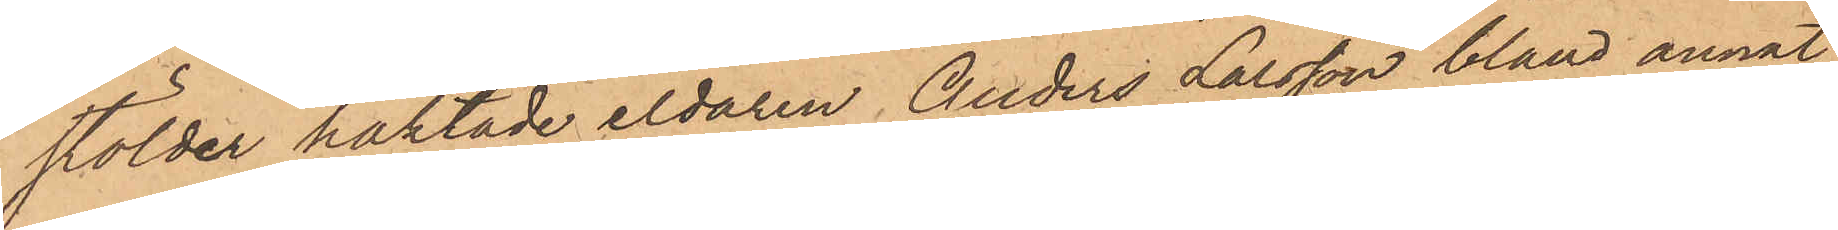stölder häktade eldaren Anders Larsson, bland annat
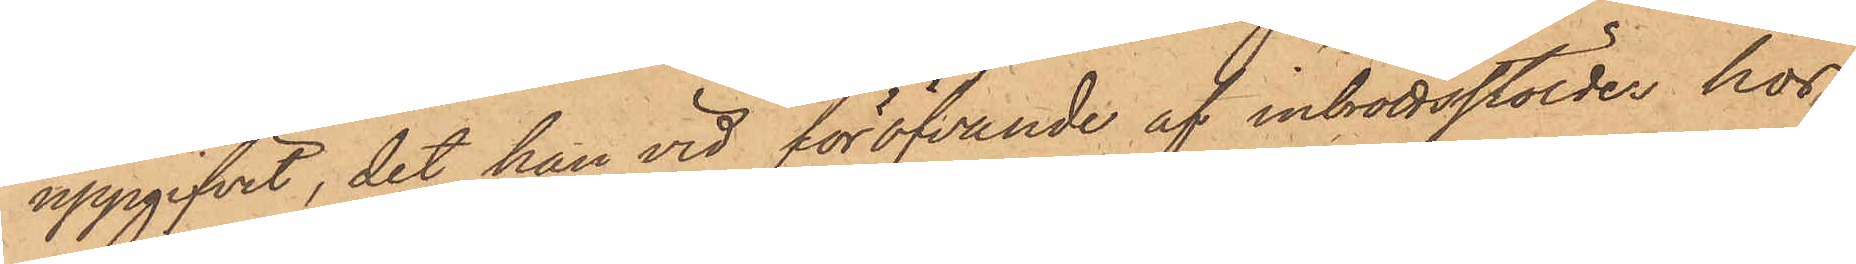uppgifvit, det han vid föröfvande af inbrottsstölder hos
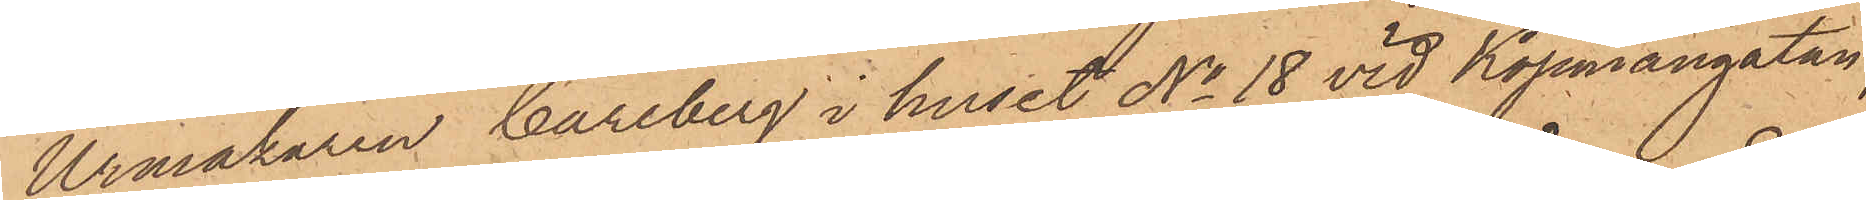Urmakaren Carlberg i huset No 18 vid Köpmangatan,
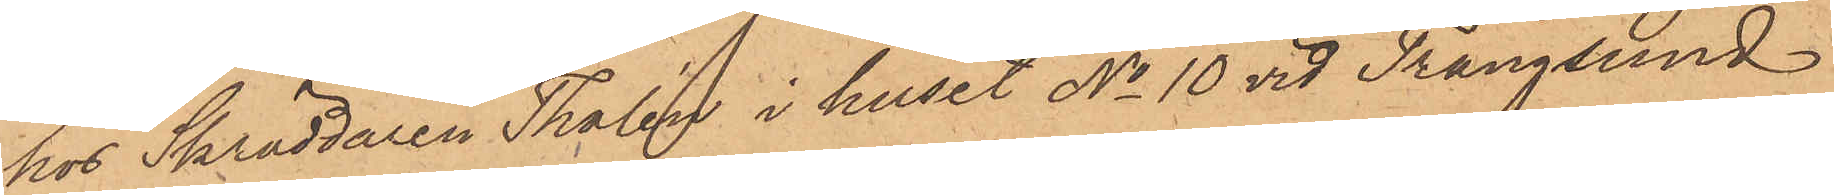hos Skräddaren Thalén i huset No 10 vid Trångsund
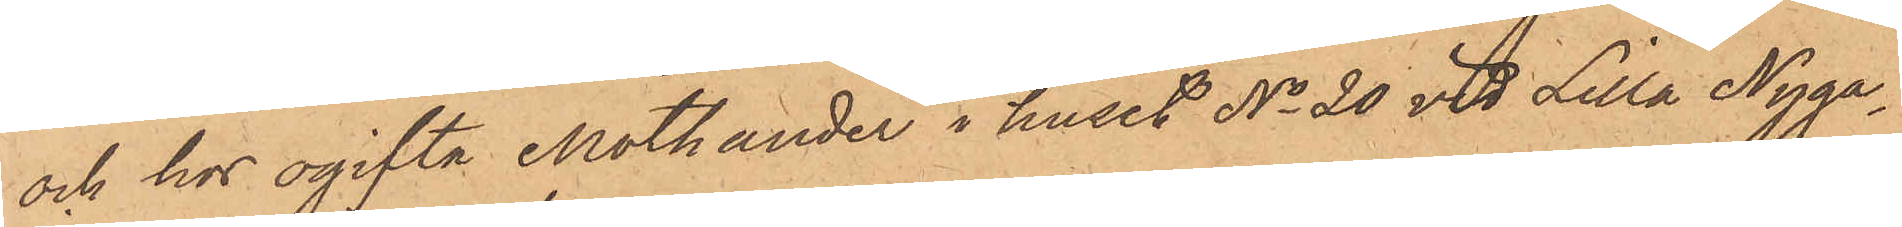och hos ogifta Mothander i huset No 20 vid Lilla Nyga¬
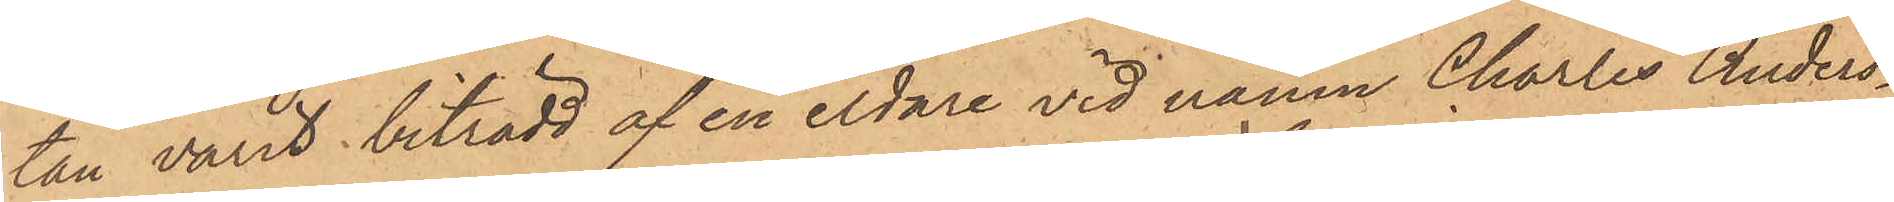tan varit biträdd af en eldare vid namn Charles Anders¬
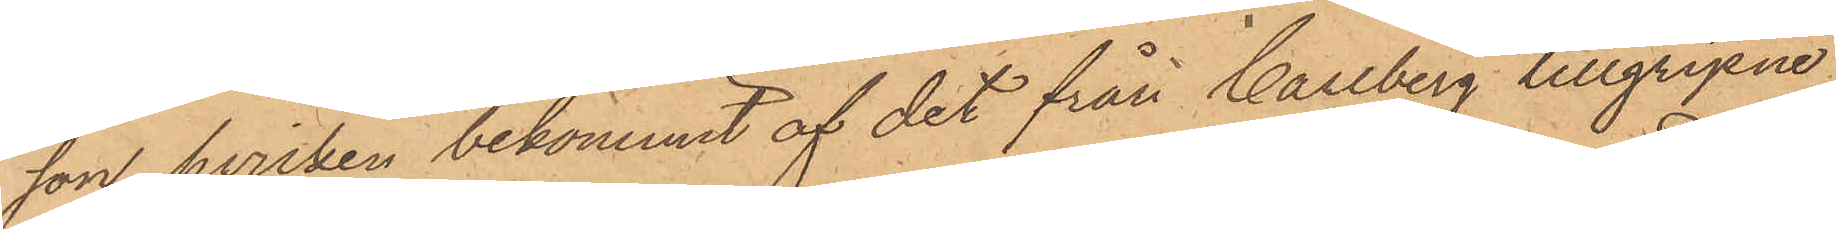son, hvilken bekommit af det från Carlberg tillgripne
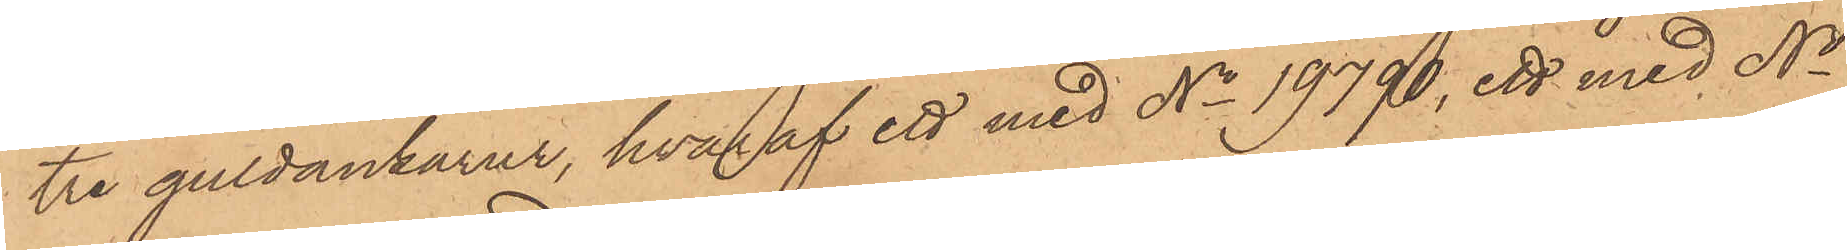tre guldankarur, hvaraf ett med No 19790, ett med No
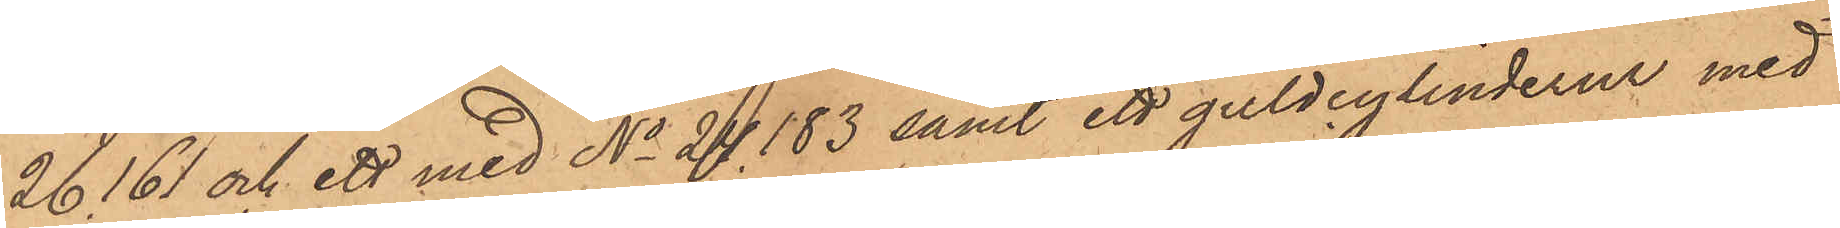26161 och ett med No 24183 samt ett guldcylinderur med
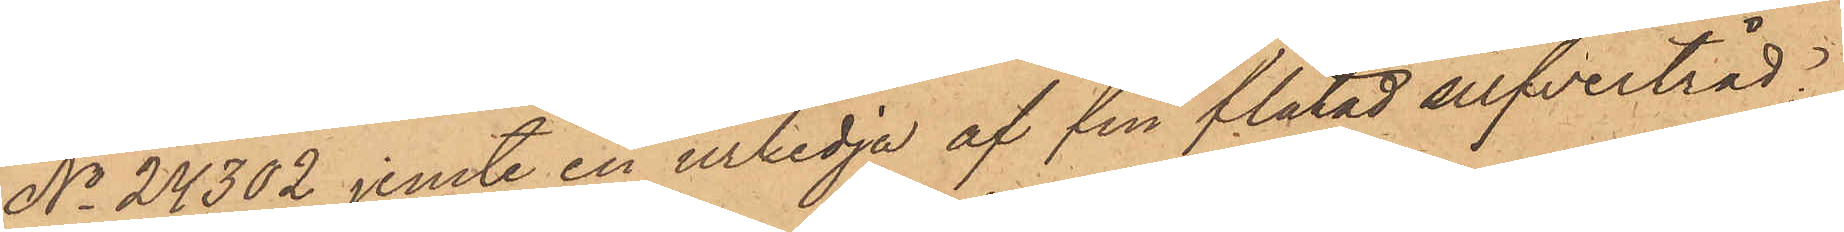No 24302 jemte en urkedja af fin flätad silfvertråd,
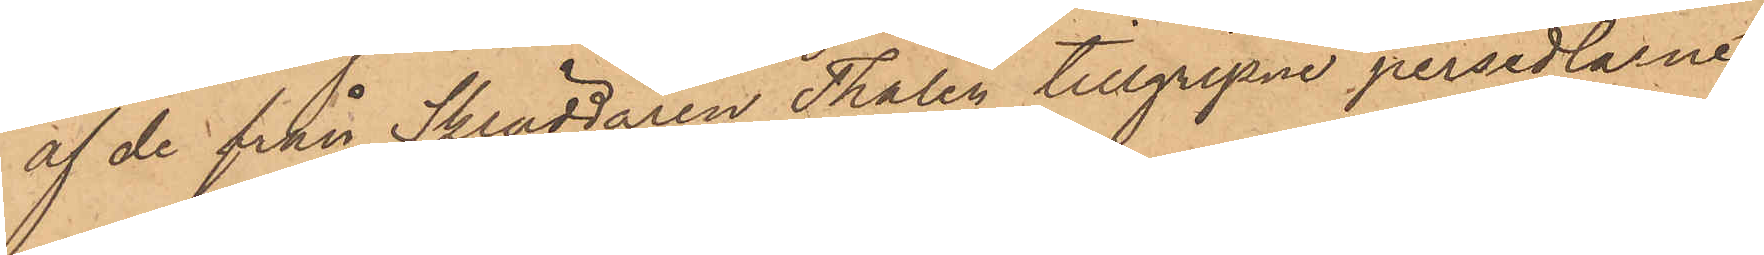af de från Skräddaren Thalén tillgripne persedlarne
